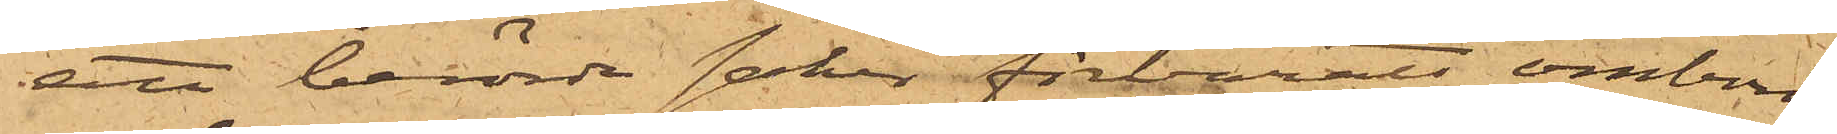ett berörde saker förvarats ombord
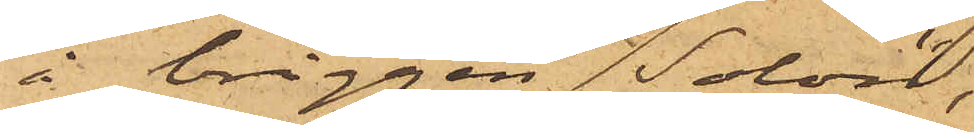å briggen "Solon",
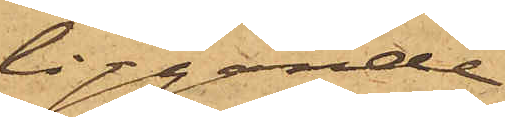liggande
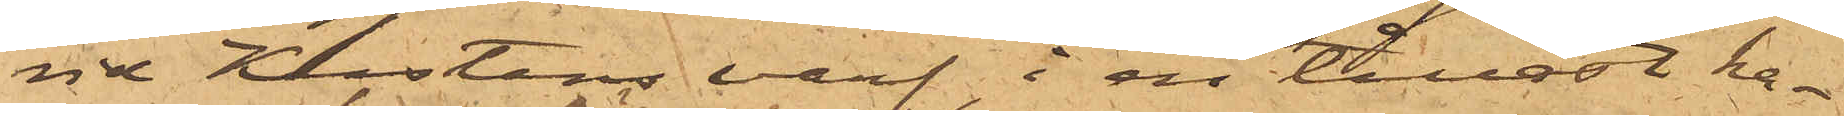vid Kustens varf. i en tillåst ka¬
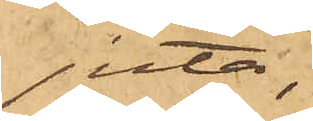juta,
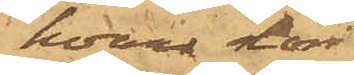hvars dörr
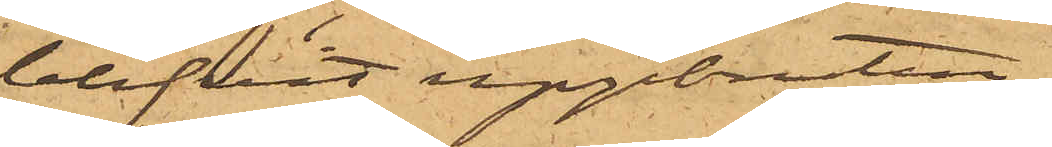blifvit uppbruten.
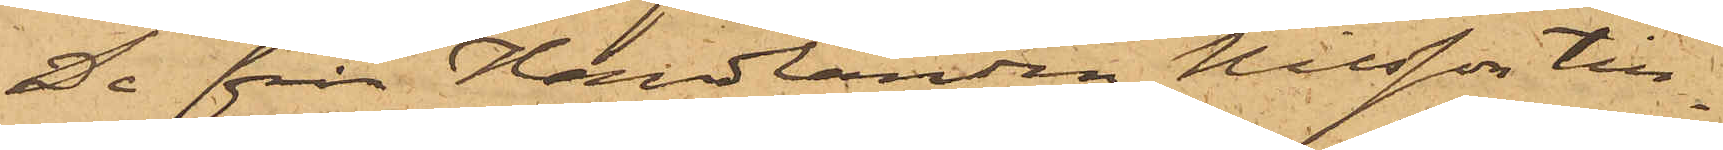De från Handlanden Nilsson till¬
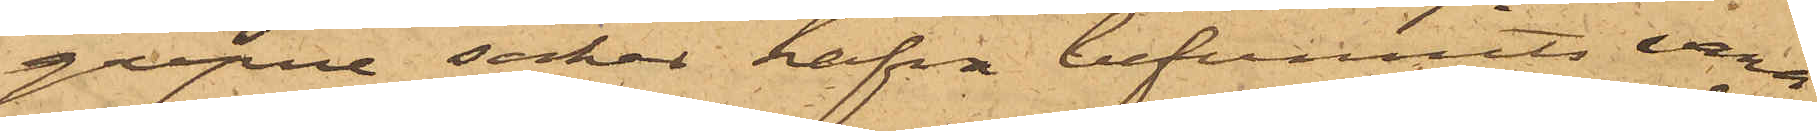gripne saker hafva befunnits vara
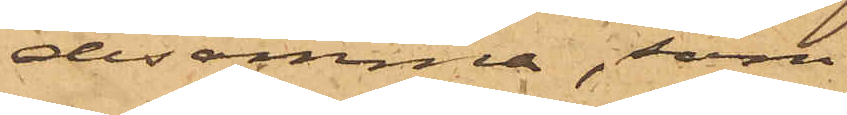desamma, som
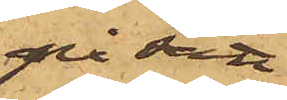på sätt
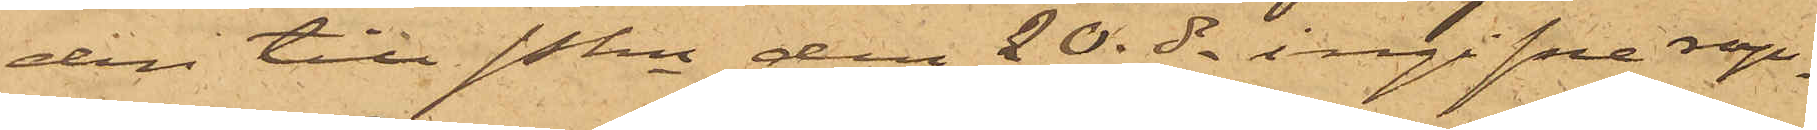den till Pkn den 20 ds ingifne rap¬
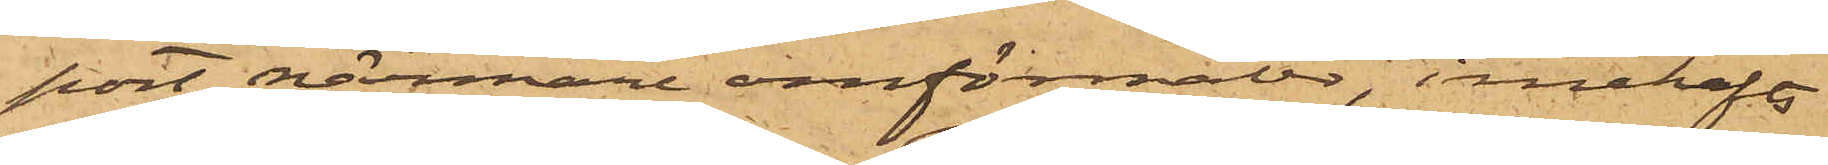port närmare omförmält, innehafts
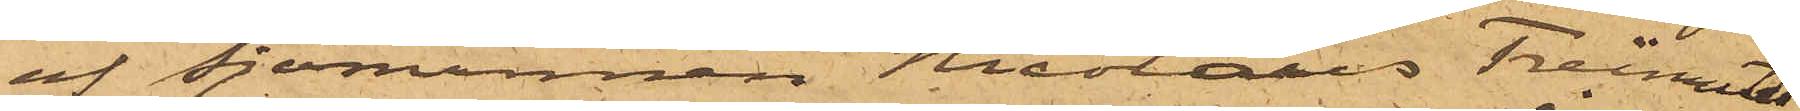af sjömannen Nicolaus Freimoth,
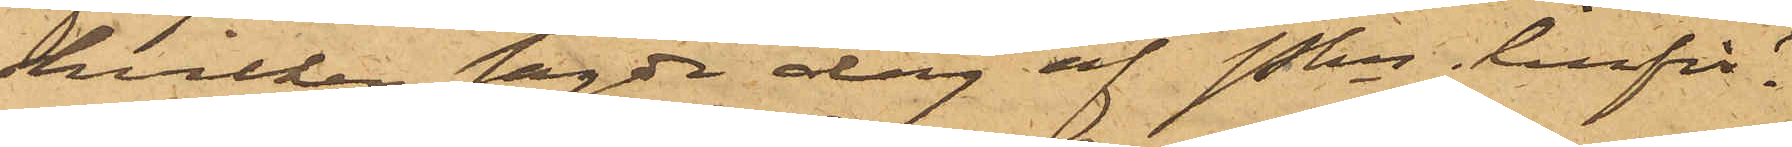hvilken sagde dag af Pkn inför¬
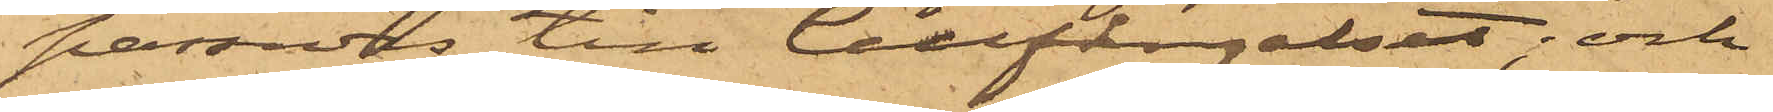passades till Cellfängelset; och
